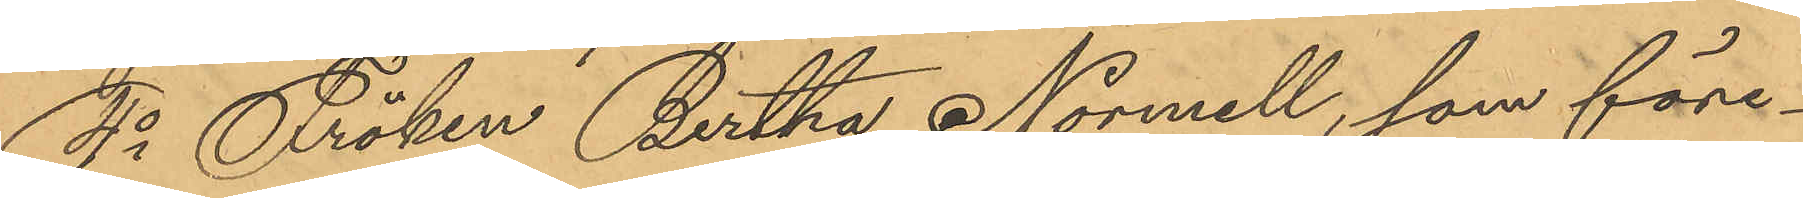4o Fröken Bertha Normell, som före¬
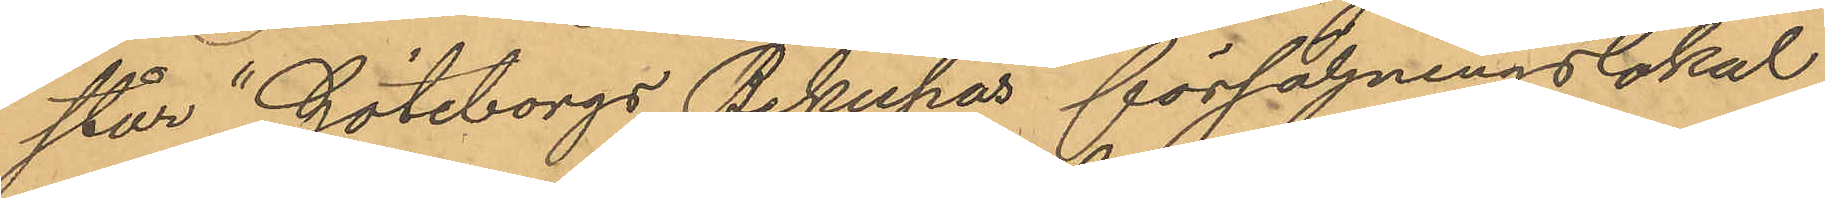står "Göteborgs Bikupas" försäljningslokal
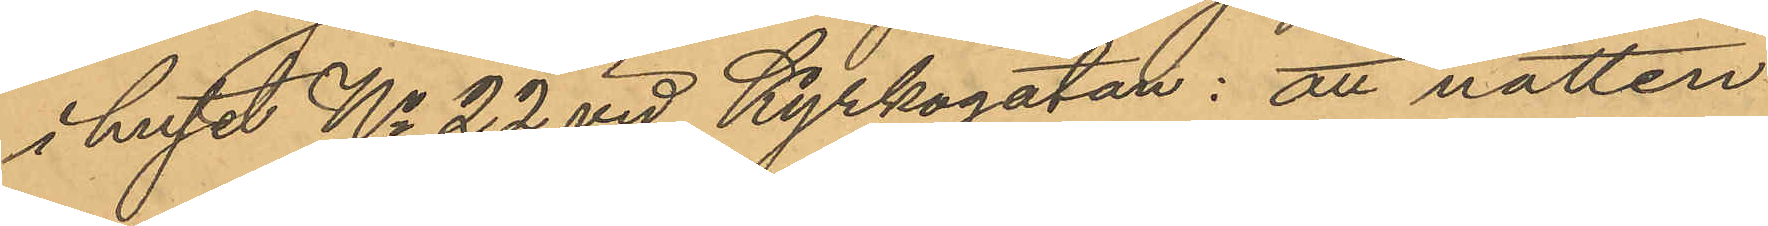i huset No 22 vid Kyrkogatan: att natten
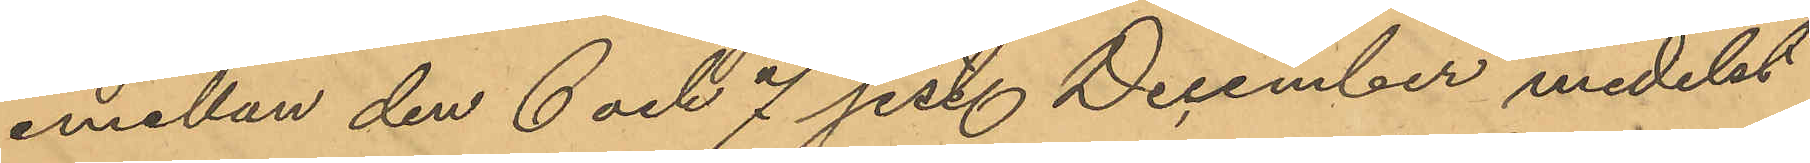emellan den 6 och 7 sist. December medelst
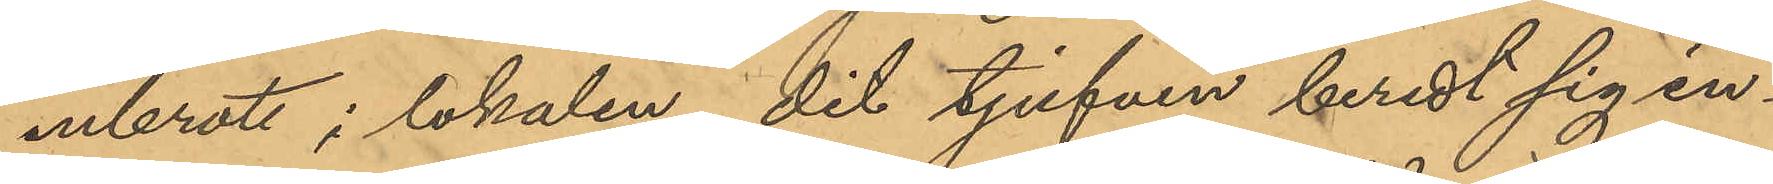inbrott i lokalen, dit tjufven beredt sig in¬
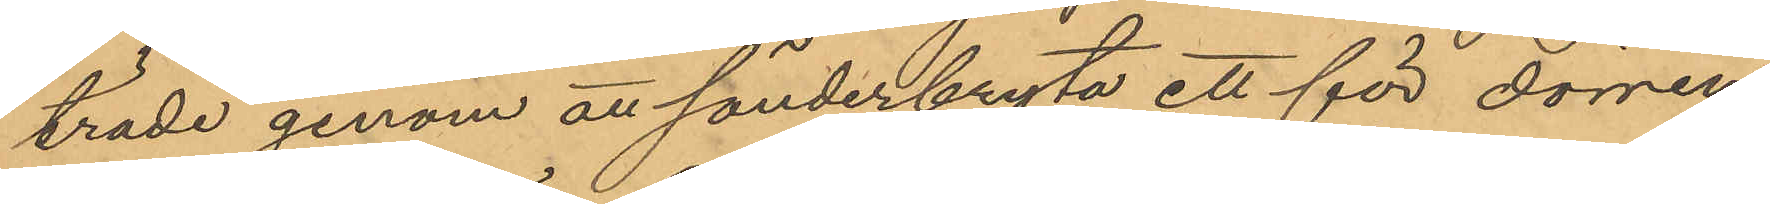träde genom att sönderbryta ett för dörren
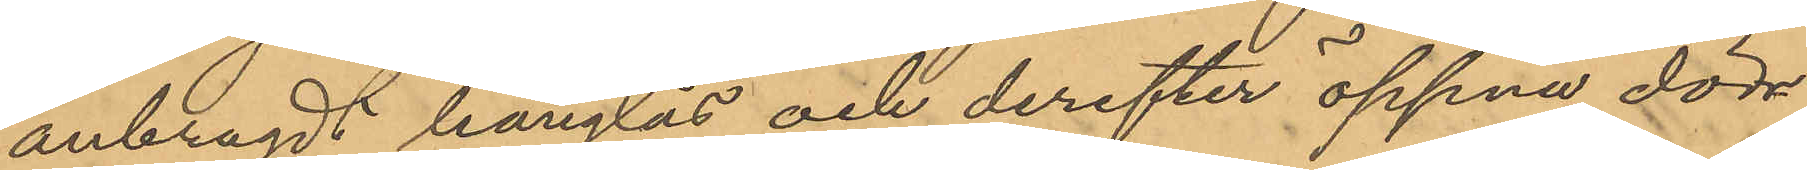anbragdt hänglås och derefter öppna dörr¬
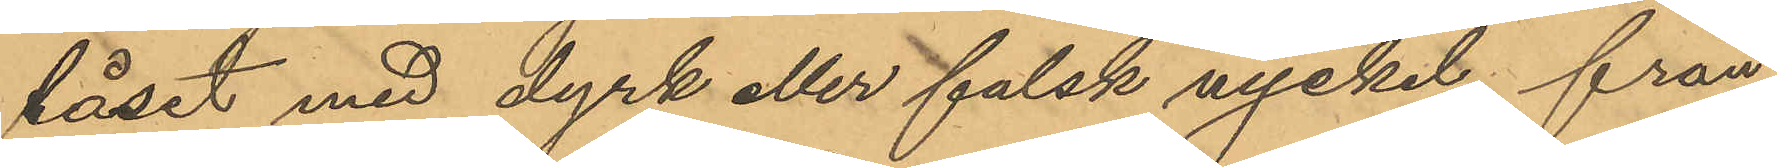låset med dyrk eller falsk nyckel från
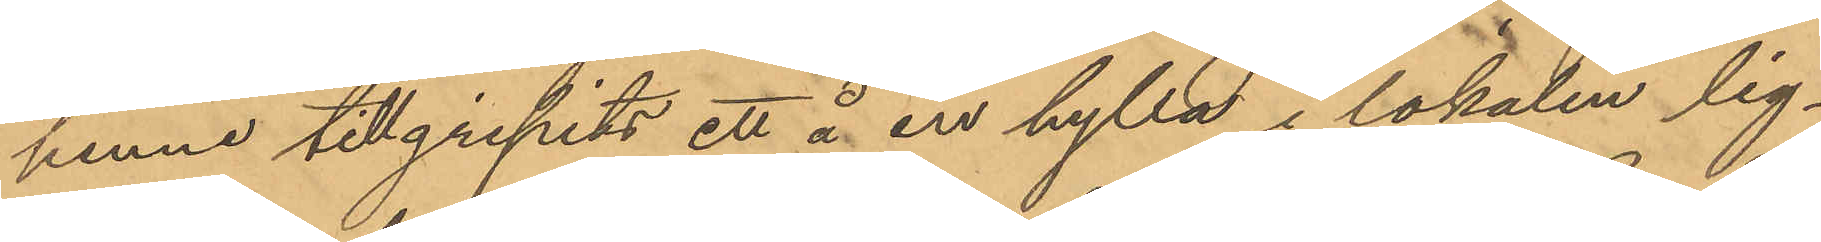henne tillgripits ett å en hylla i lokalen lig¬
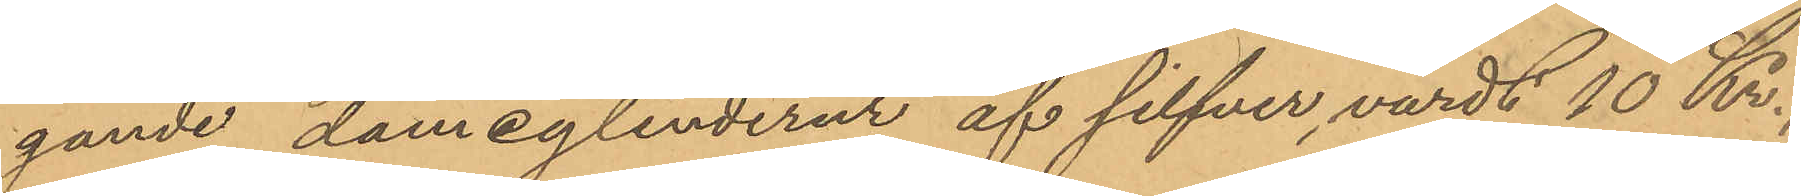gande damcylinderur af silfver, värdt 10 Kr.,
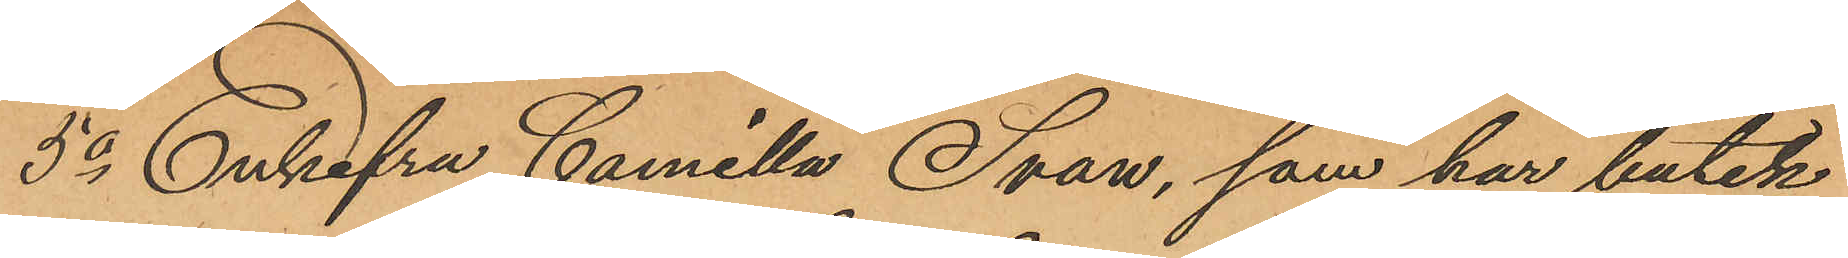5o Enkafru Camilla Svan, som har butik
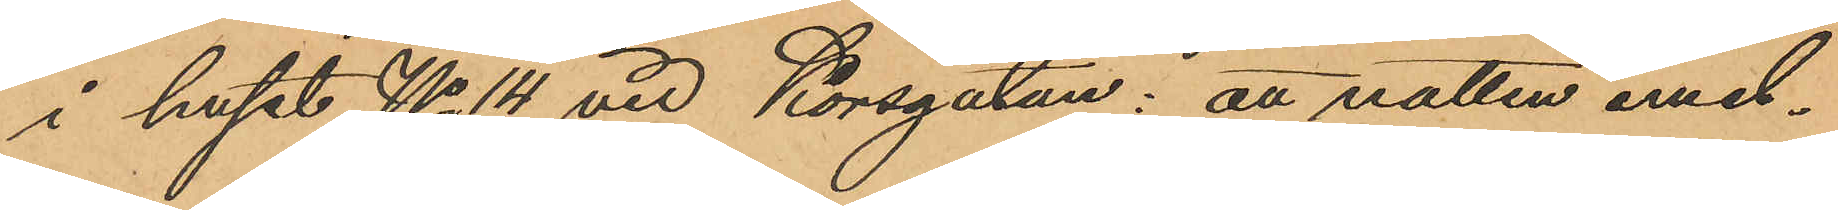i huset No 14 vid Korsgatan: att natten emel¬
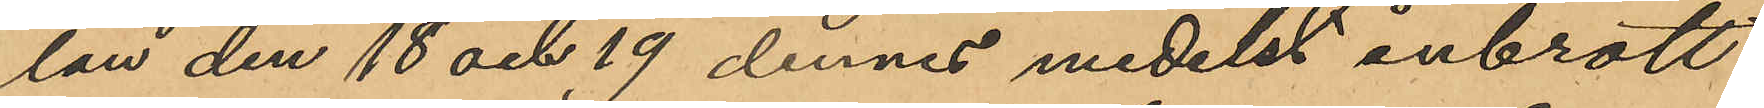lan den 18 och 19 dennes medelst inbrott
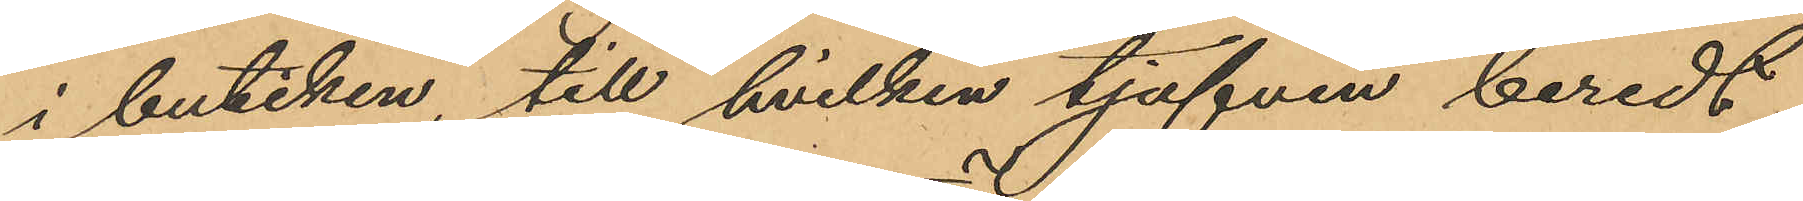i butiken, till hvilken tjufven beredt
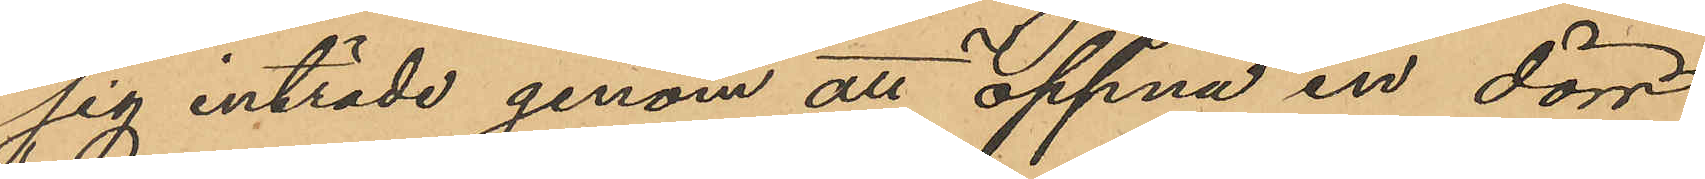sig inträde genom att öppna en dörr,
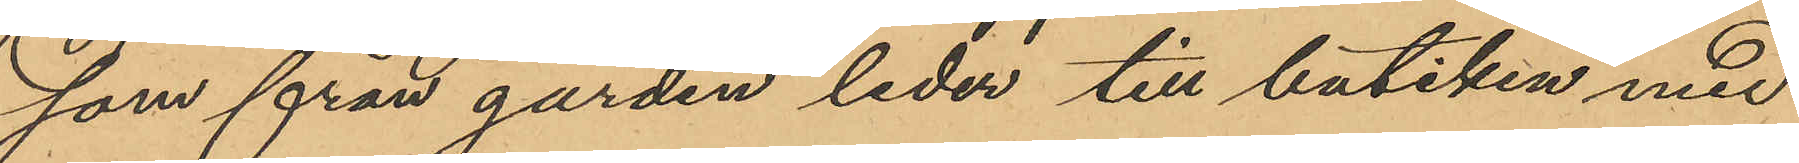som från gården leder till butiken med
